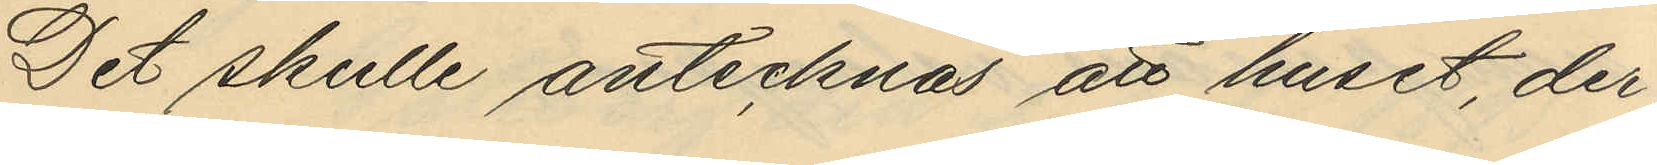Det skulle antecknas att huset, der
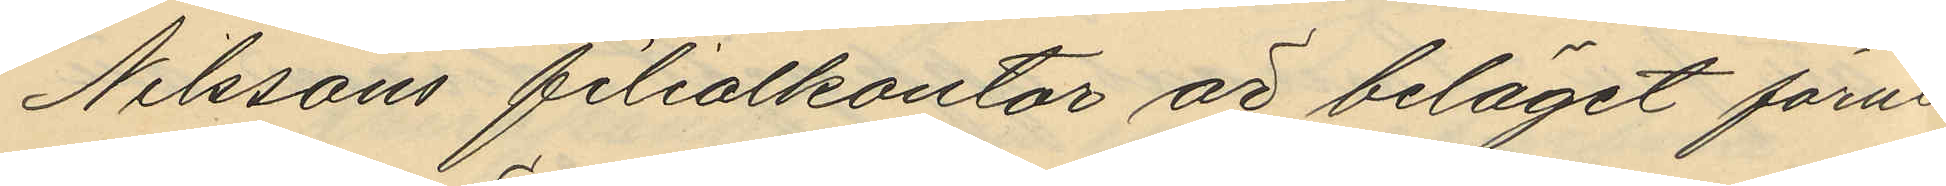Nilssons filialkontor är beläget förut
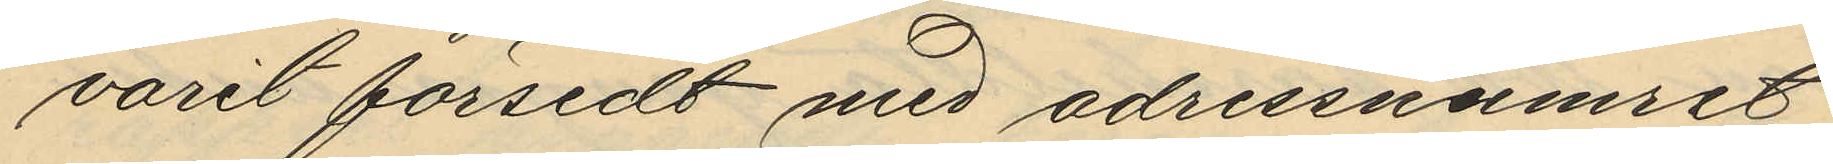varit försedt med adressnumret
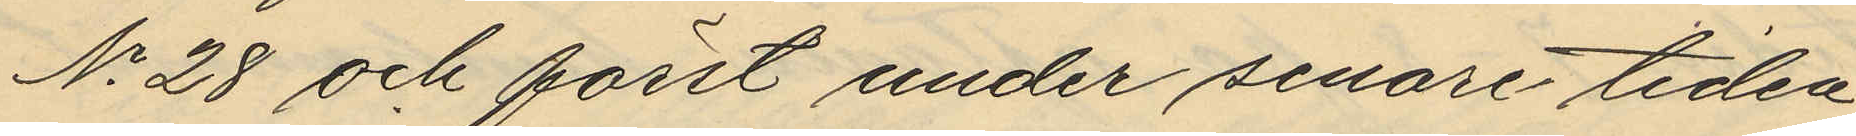No 28 och först under senare tiden
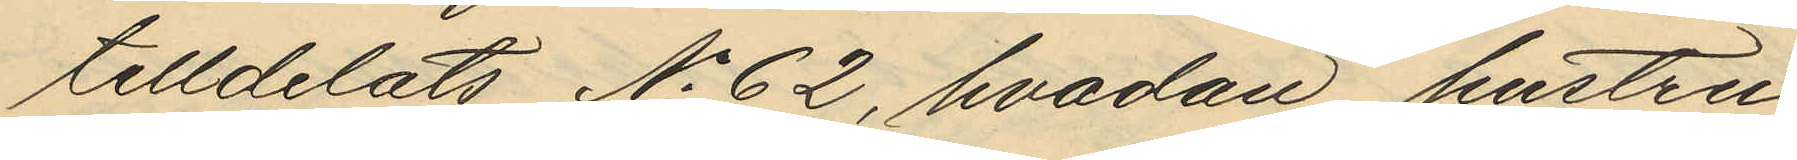tilldelats No 62, hvadan hustru
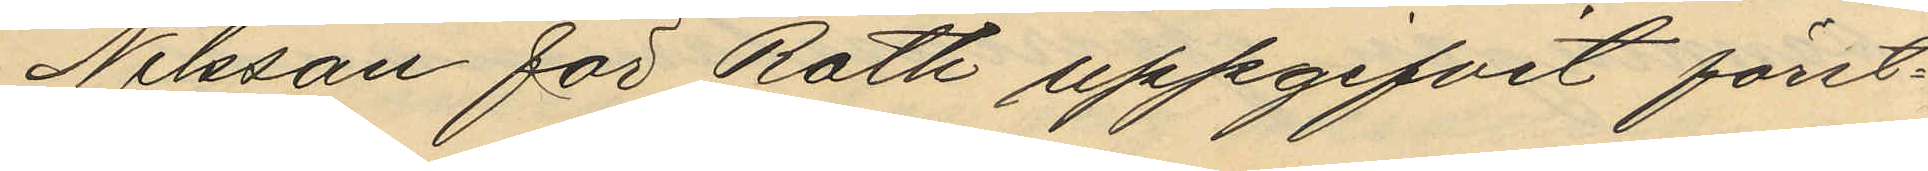Nilsson för Roth uppgifvit först¬
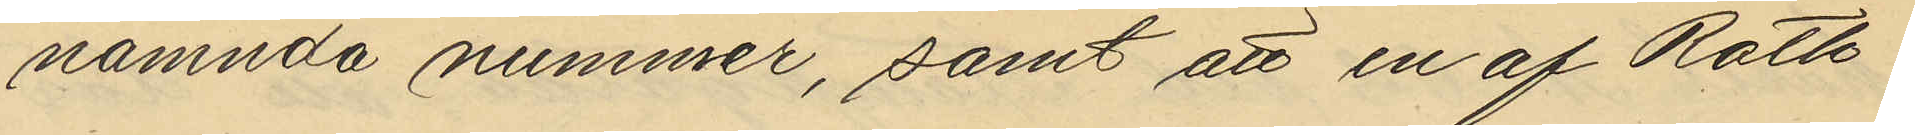nämnda nummer, samt att en af Roth
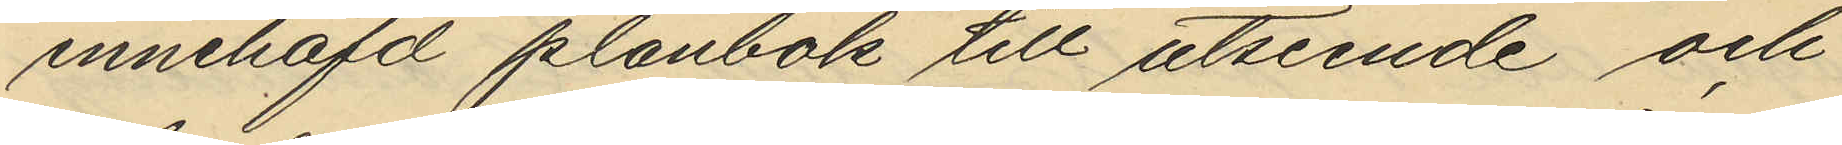innehafd plånbok till utseende och
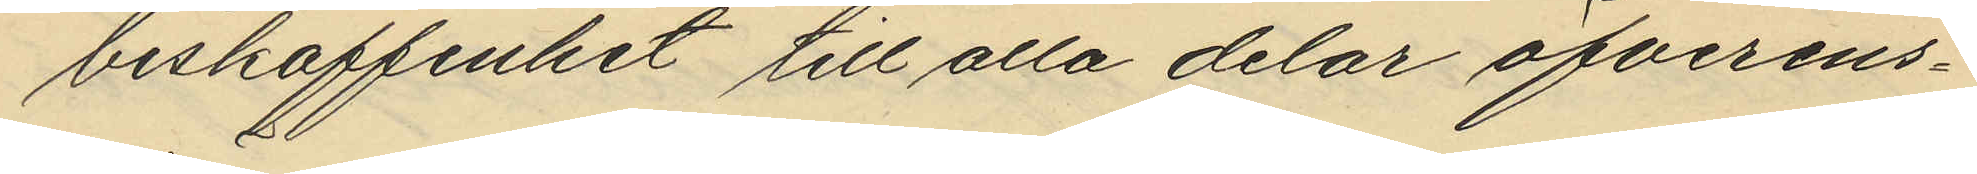beskaffenhet till alla delar öfverens¬
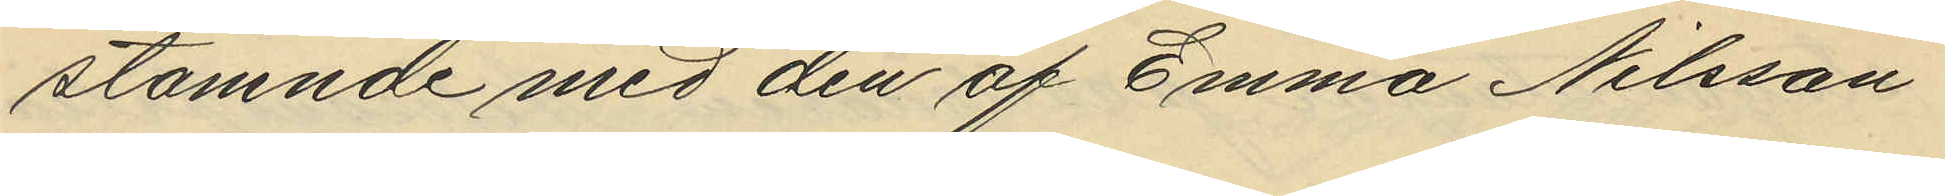stämnde med den af Emma Nilsson
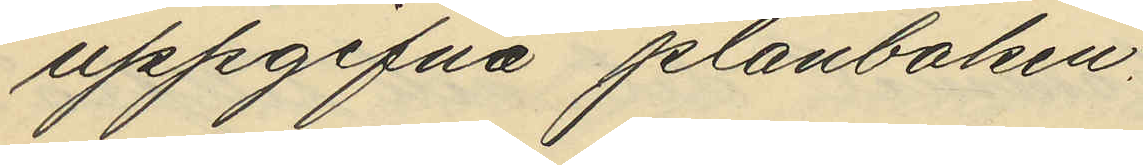uppgifna plånboken.
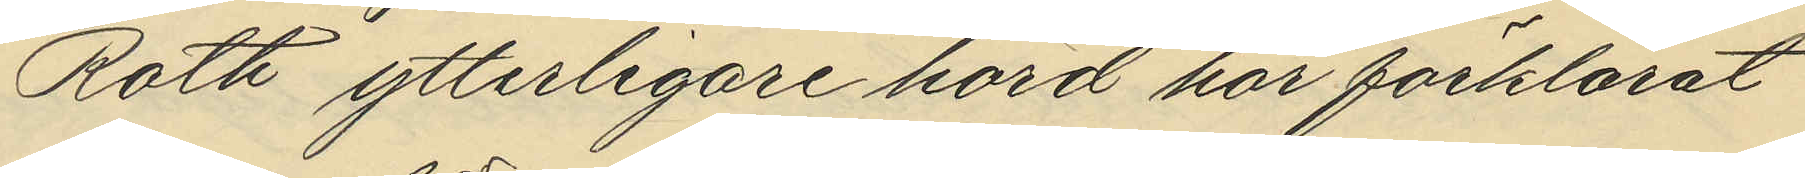Roth ytterligare hörd har förklarat
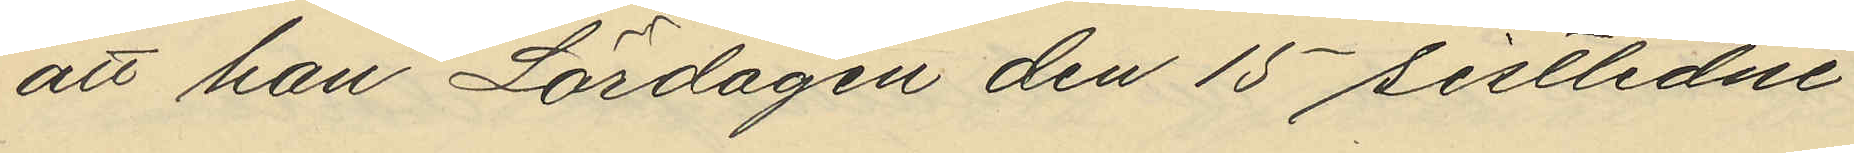att han Lördagen den 15 sistlidne
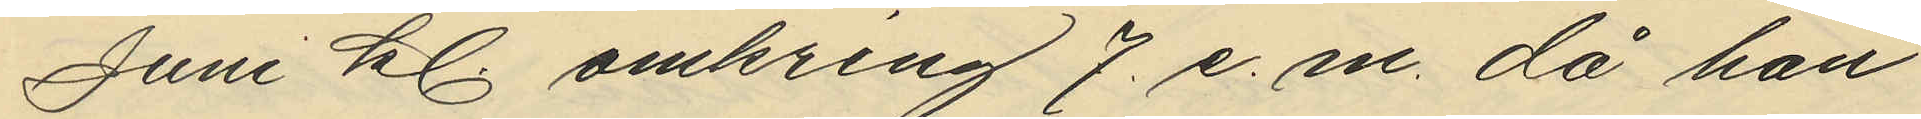Juni kl. omkring 7. e.m. då han
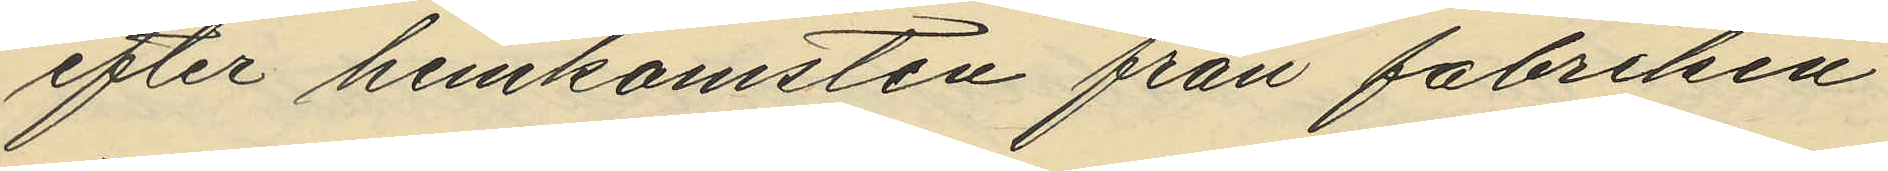efter hemkomsten från fabriken
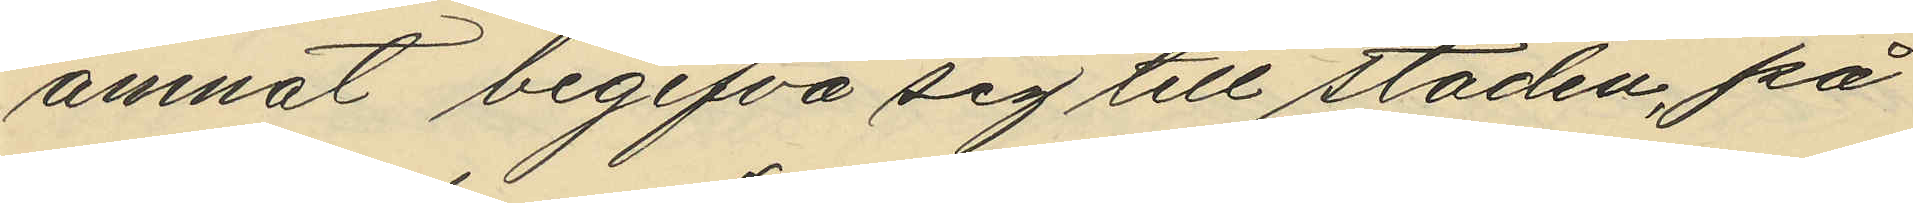ämnat begifva sig till staden, på
